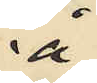å
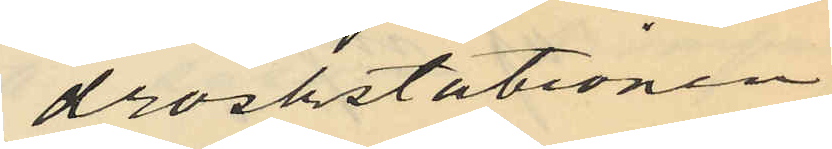droskstationen
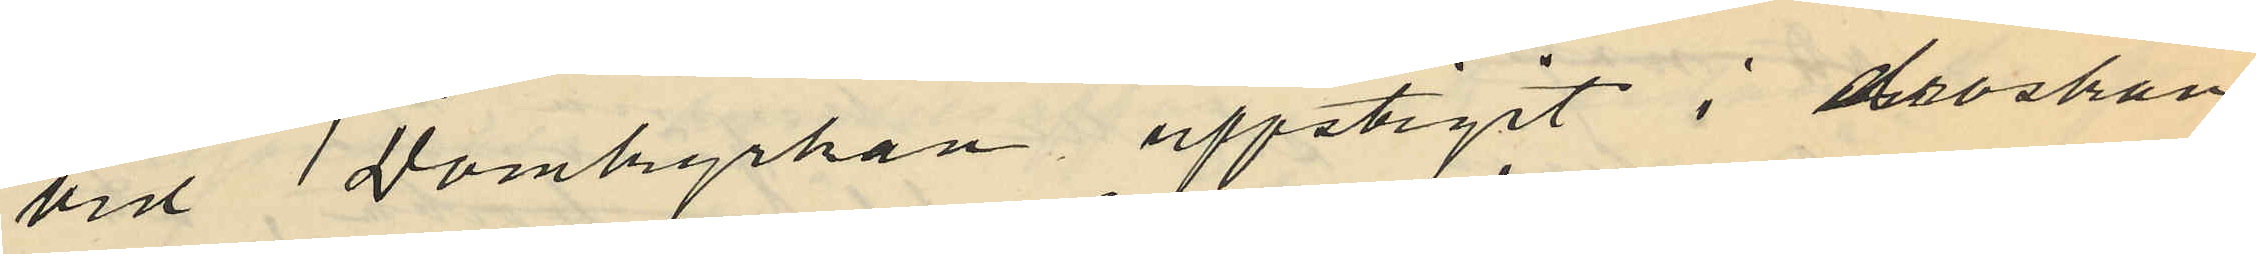vid 1 Domkyrkan uppstigit i droskan
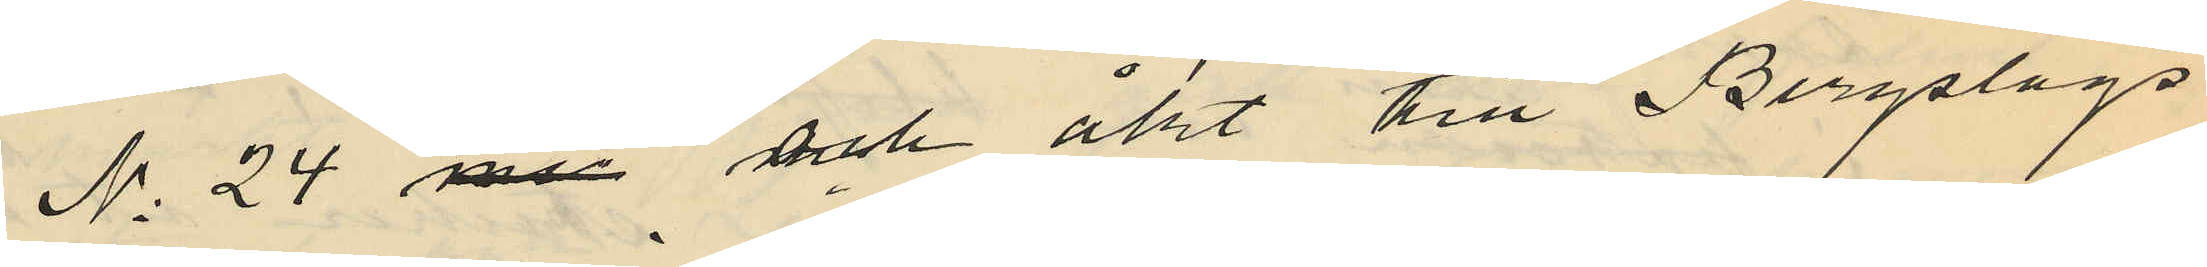No 24 med och åkt till Bergslags
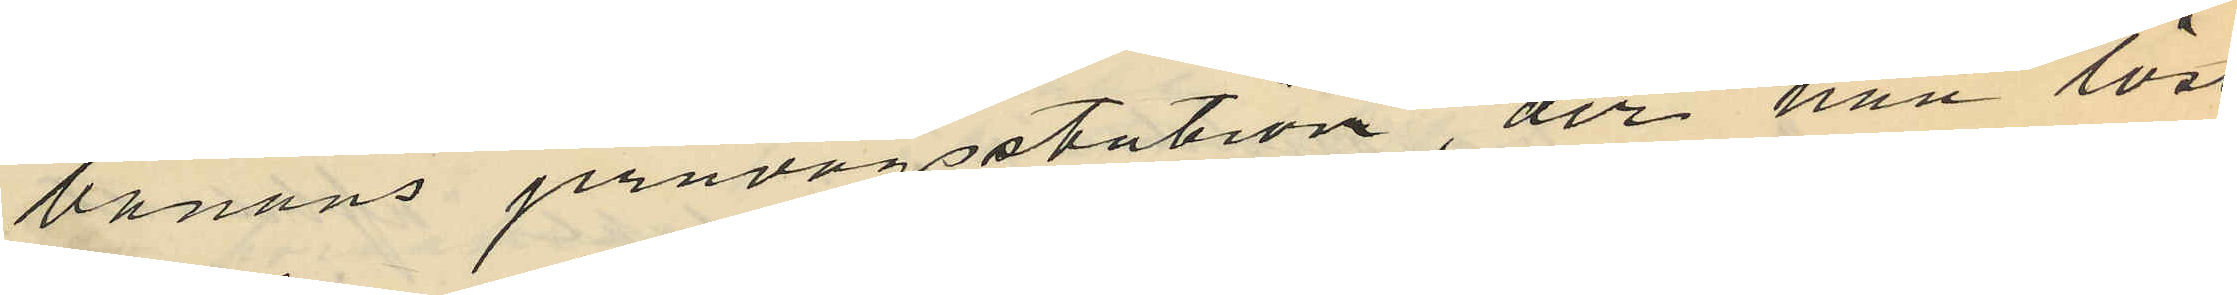banans jernvägsstation, der han löst
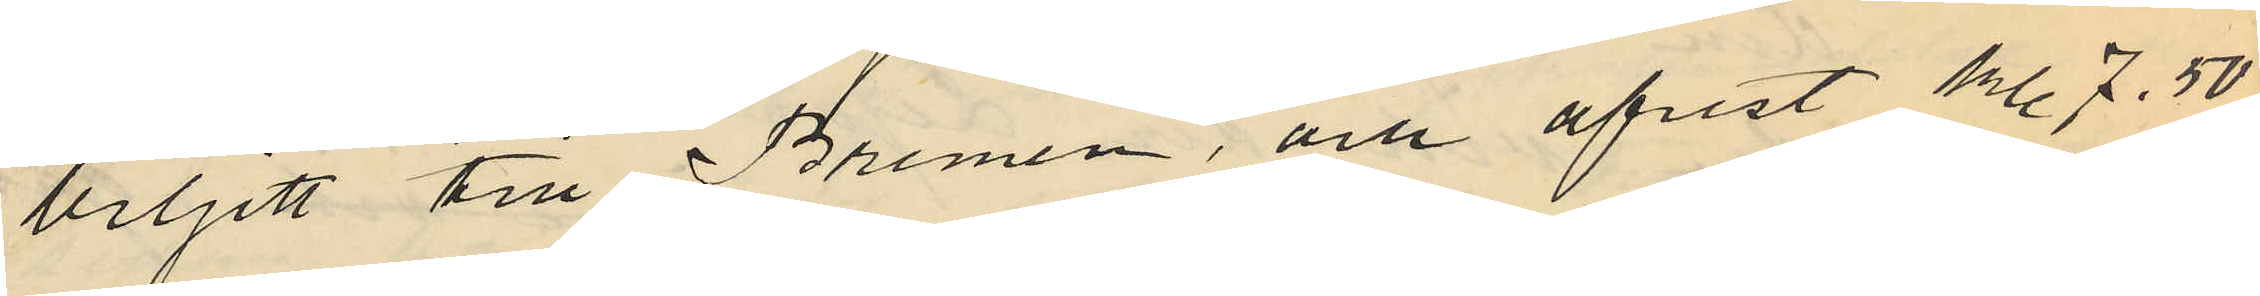biljett till Bremen, och afrest kl. 7.50
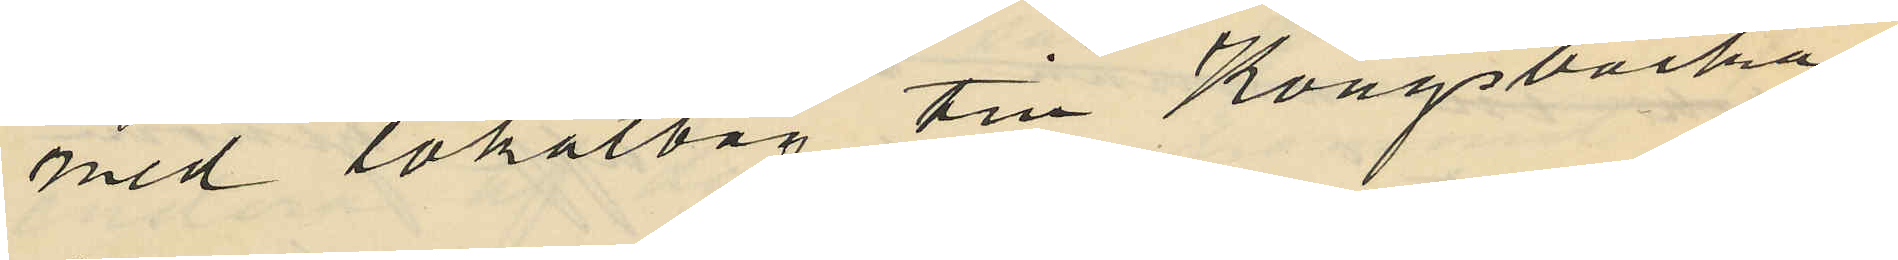med lokaltåg till Kungsbacka
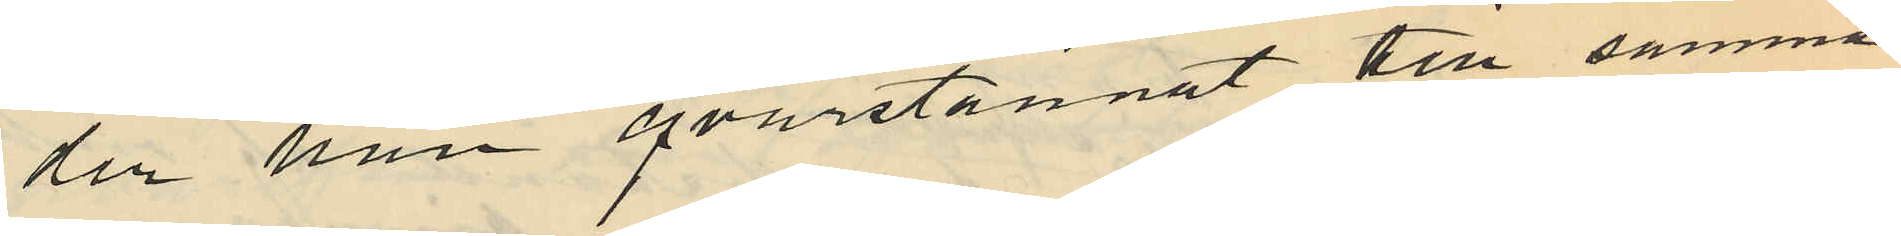der han qvarstannat till samma
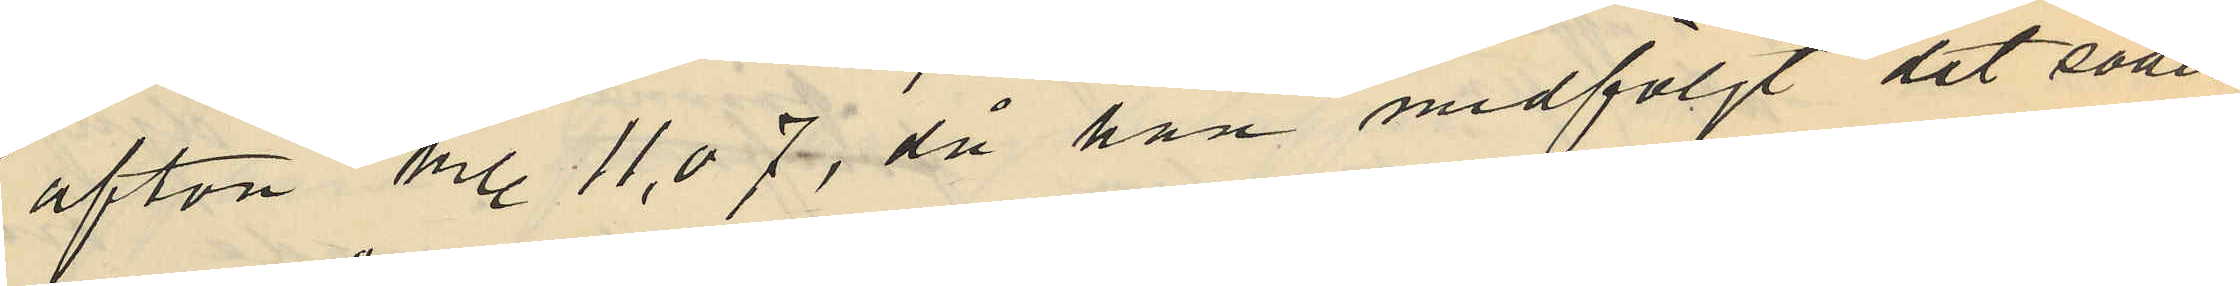afton kl. 11,07, då han medföljt det söder
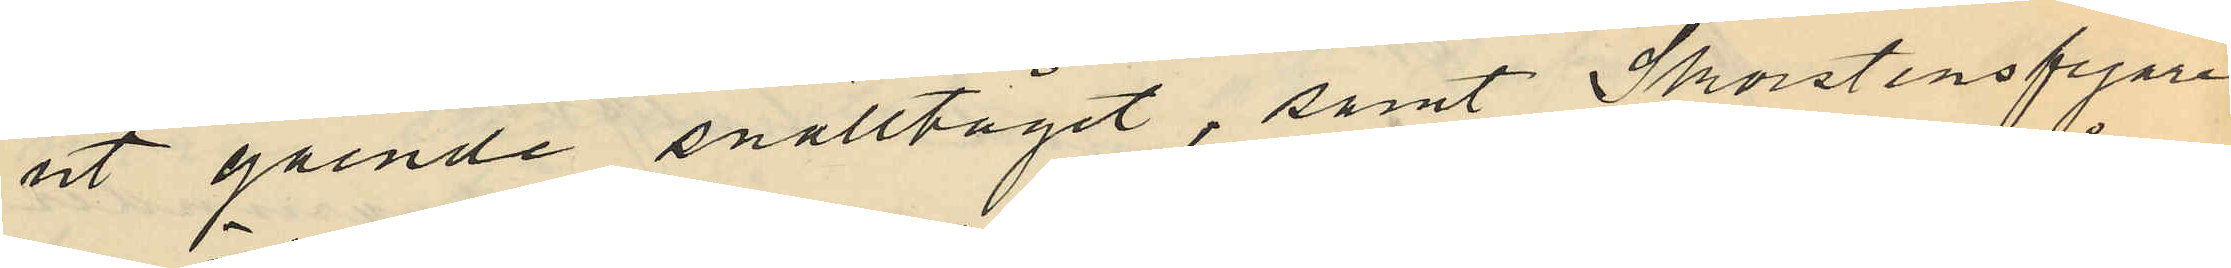ut gående snälltåget, samt Skorstensfejare¬
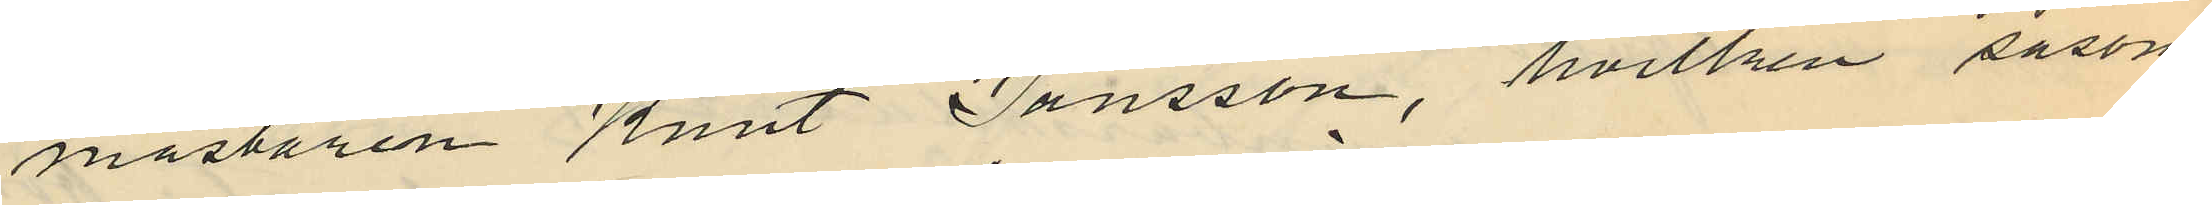mästaren Knut Jansson, hvilken såsom
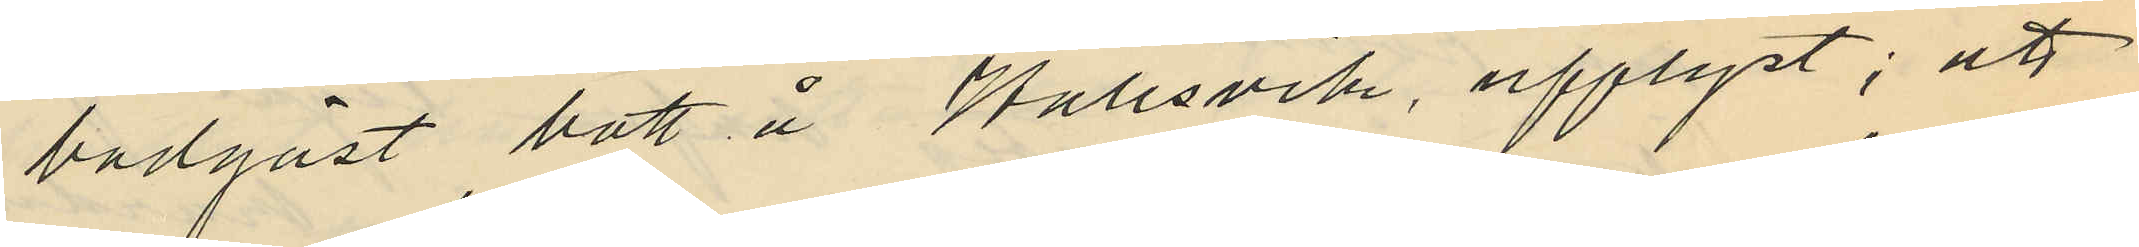badgäst bott å Hallsvik, upplyst; att
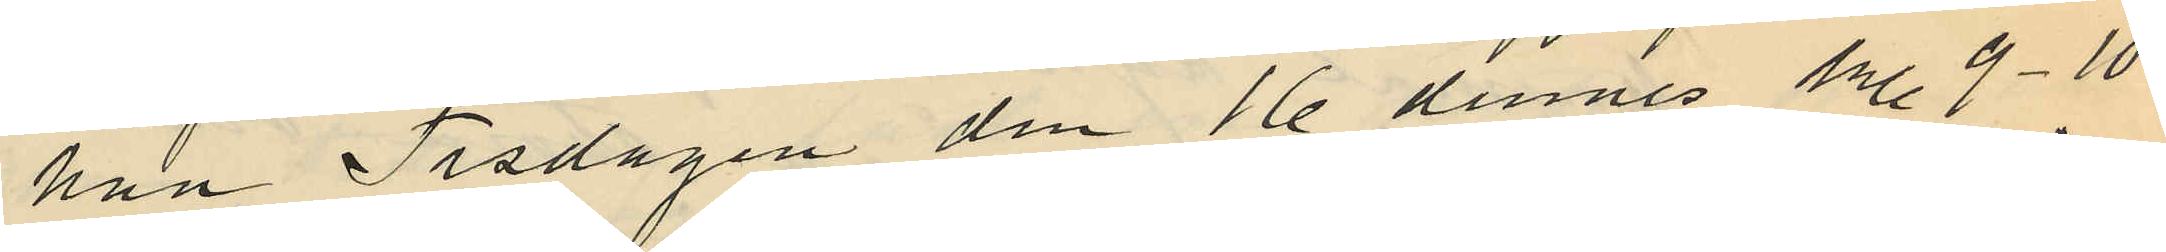han Tisdagen den 16 dennes kl. 9-10.
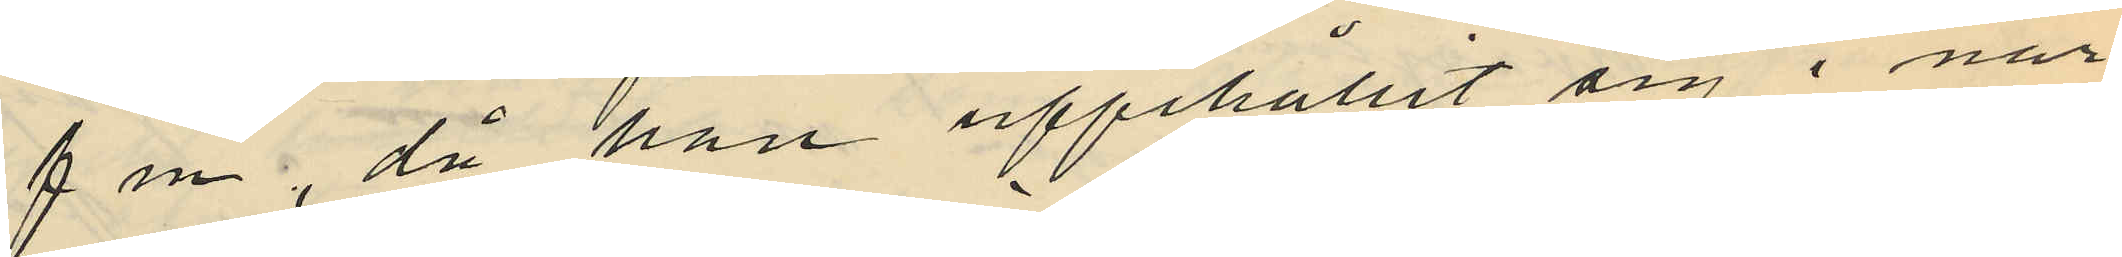f m, då han uppehållit sig i när¬
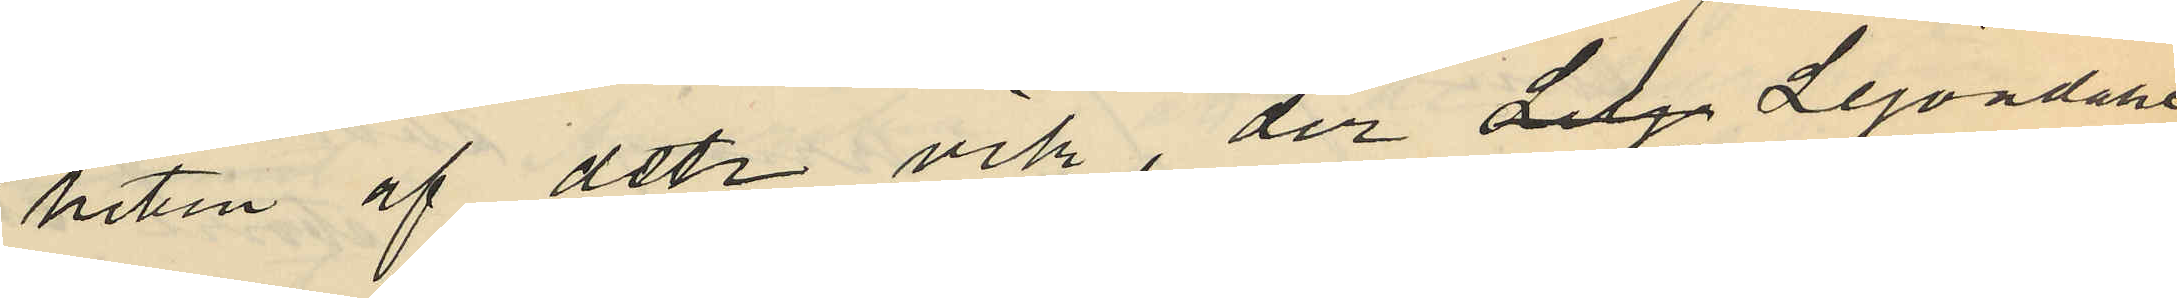heten af detta vik, der dela Lejondahls
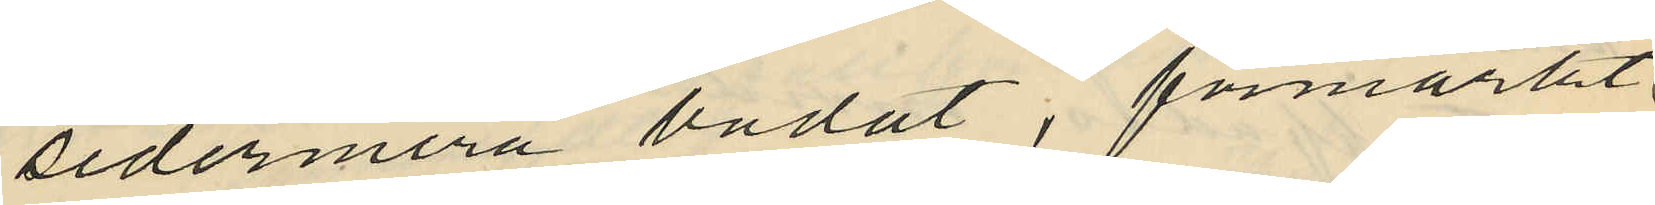sedermera badat; förmärkt
